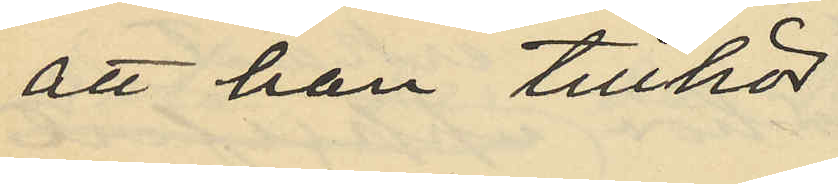att han tillhör
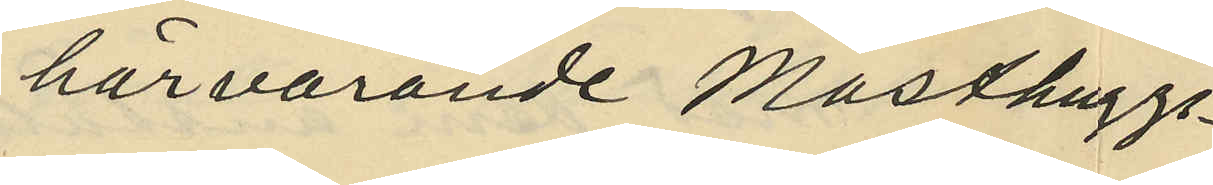härvarande Masthuggs¬
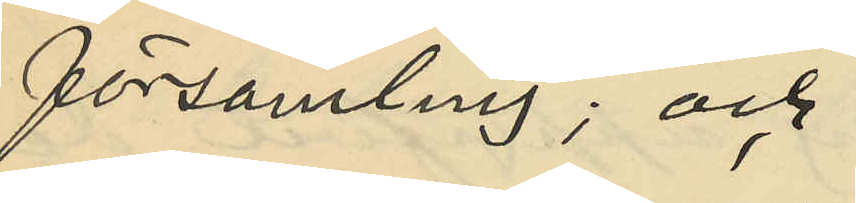församling; och
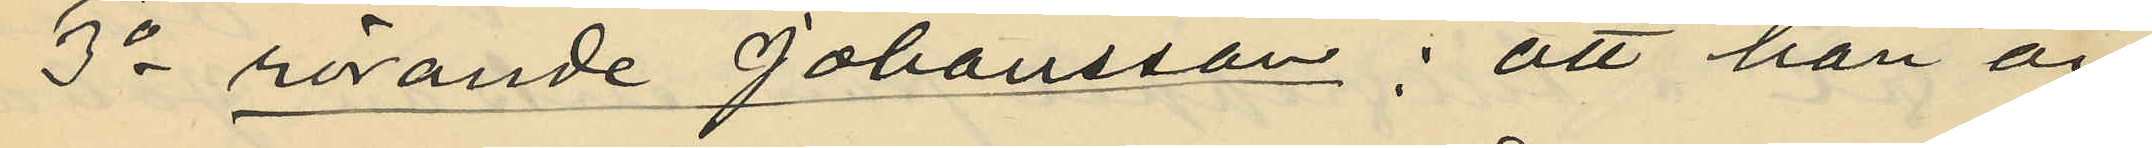3o rörande Johansson; att han är
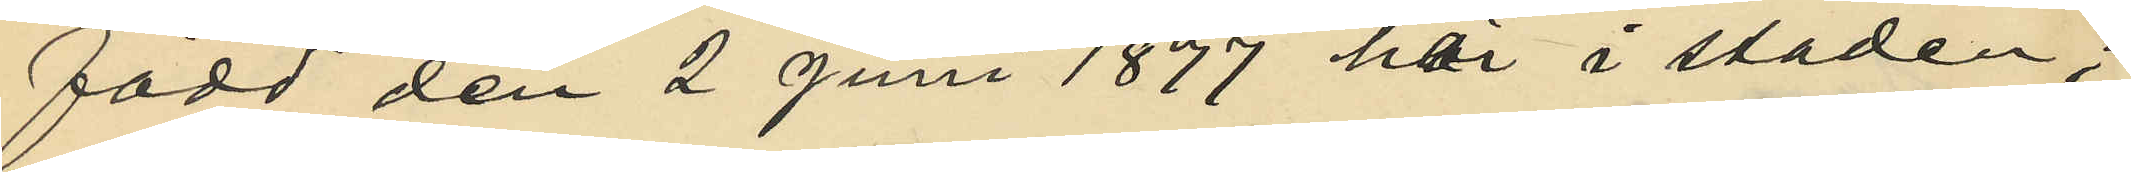född den 2 Juni 1877 här i staden;
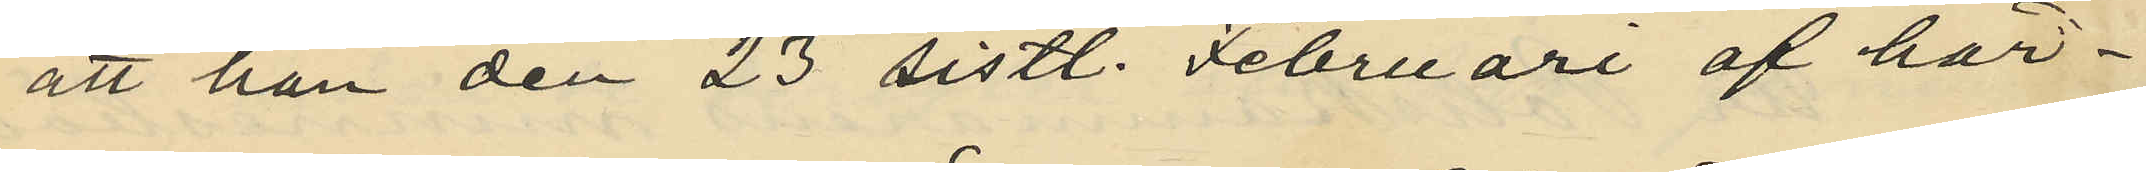att han den 23 sistl. Februari af här¬
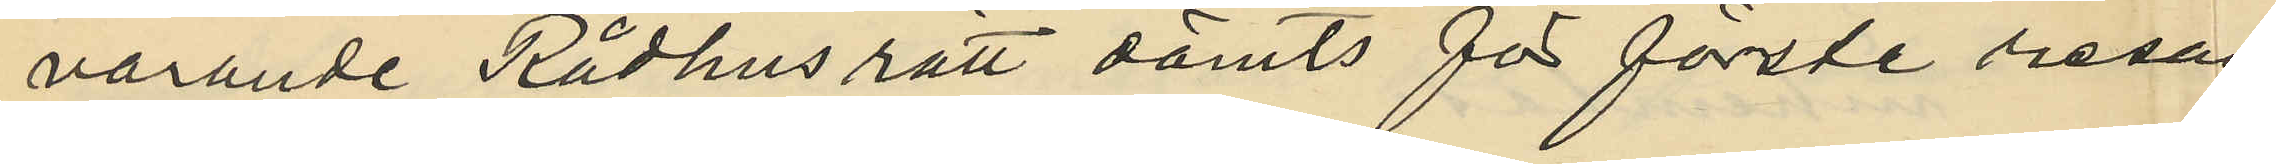varande Rådhusrätt dömts för första resan
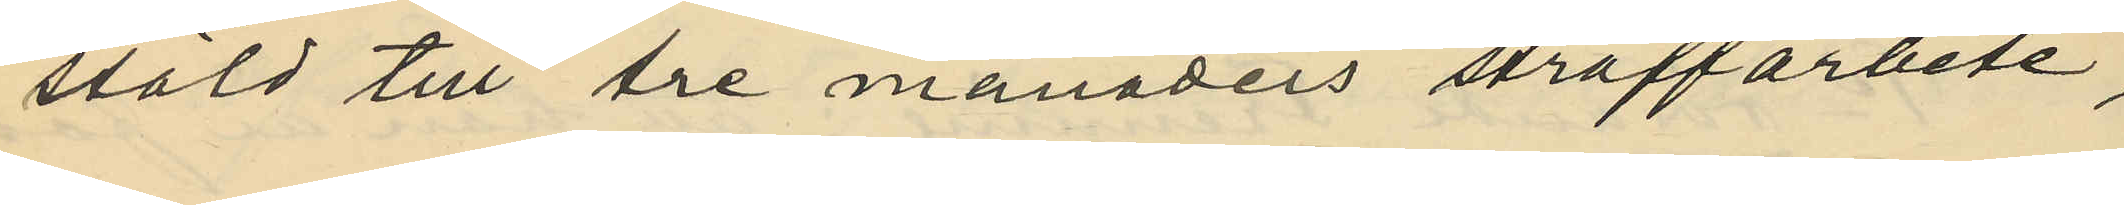stöld till tre månaders straffarbete,
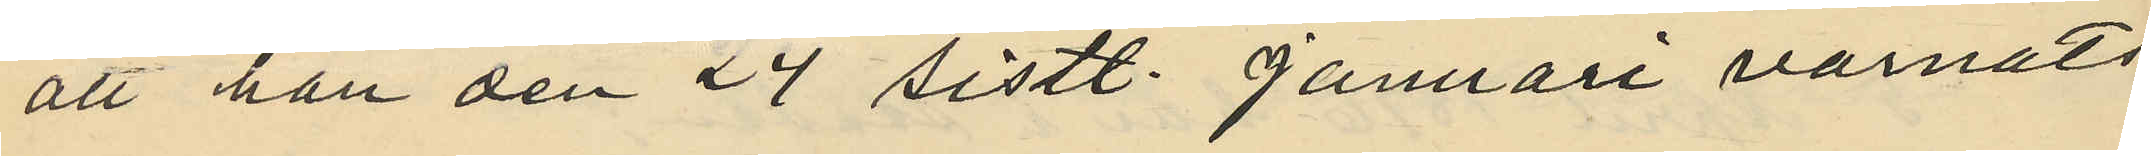att han den 24 sistl. Januari varnats
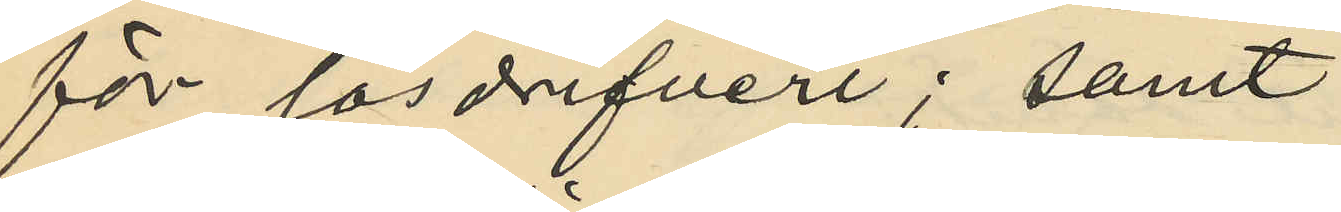för lösdrifveri; samt
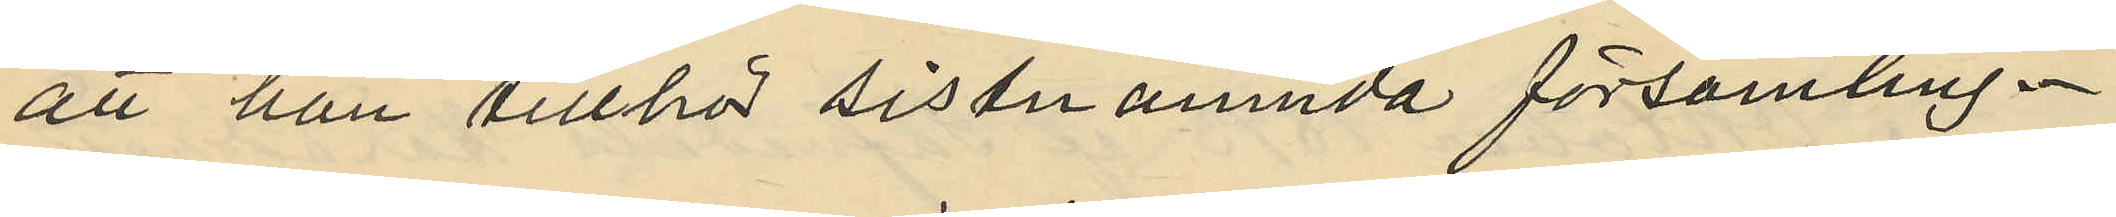att han tillhör sistnämnda församling.
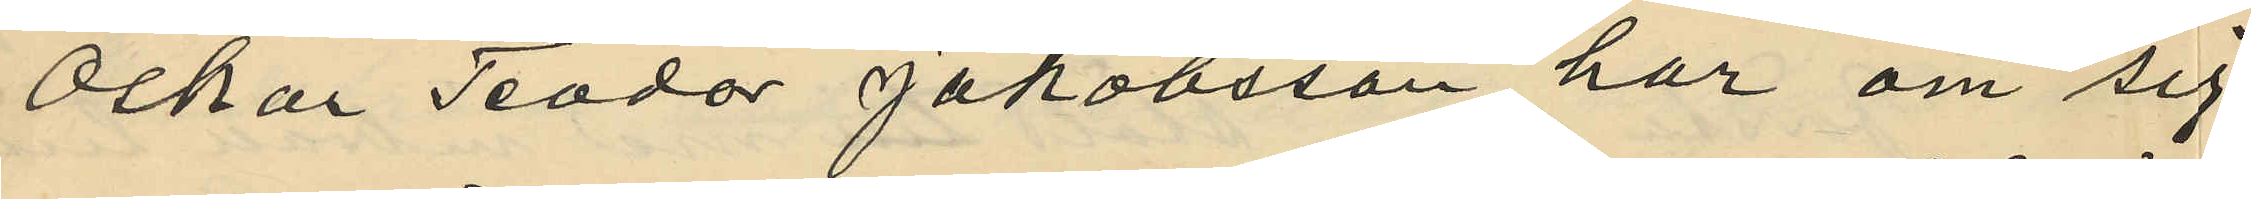Oskar Teodor Jakobsson har om sig
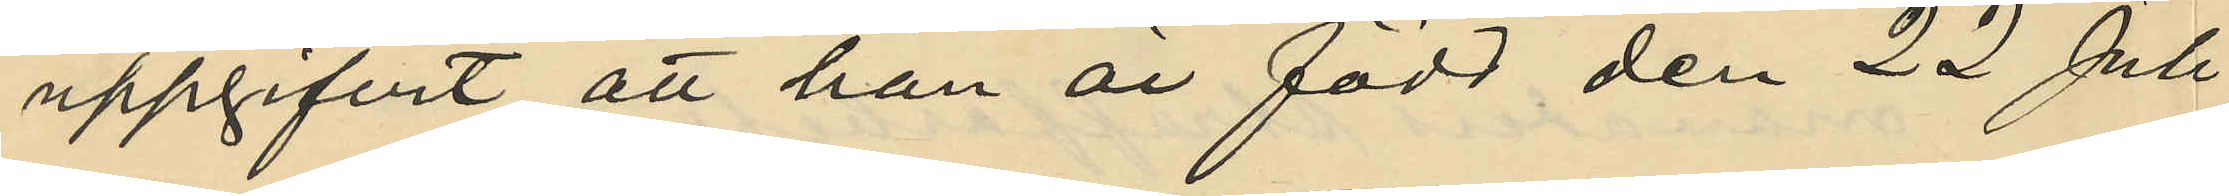uppgifvit att han är född den 22 Juli
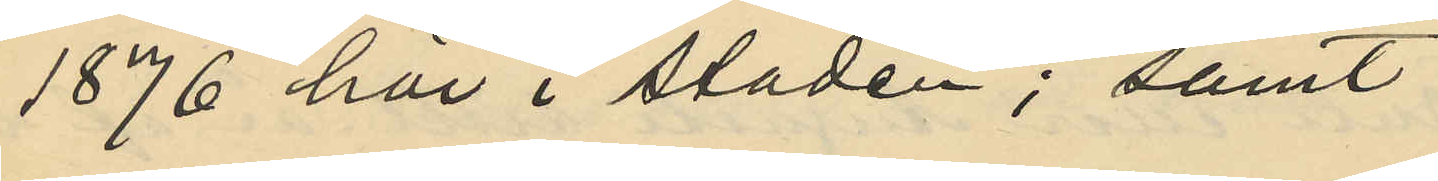1876 här i staden; samt
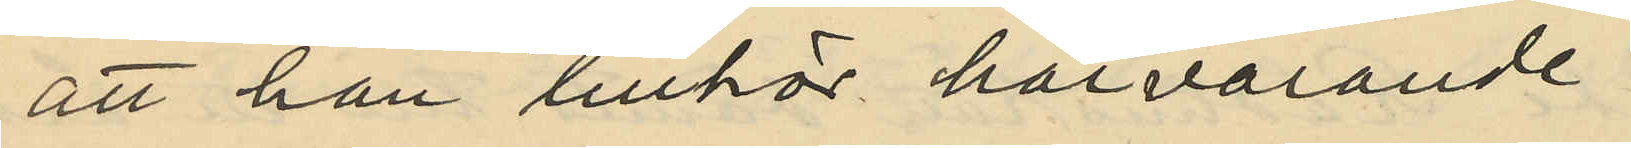att han tillhör härvarande
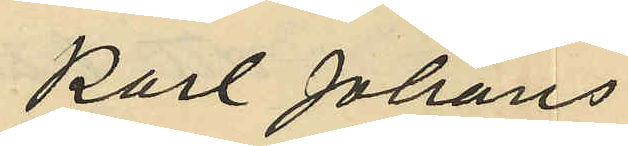Karl Johans
